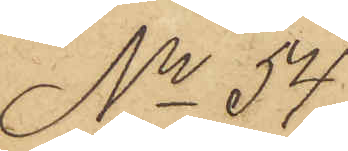No 54
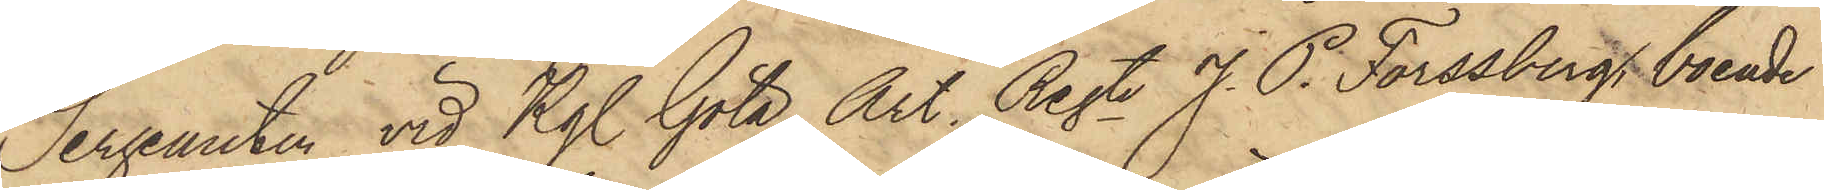Sergeanten vid Kgl Göta Art. Regte J. P. Forssberg, boende
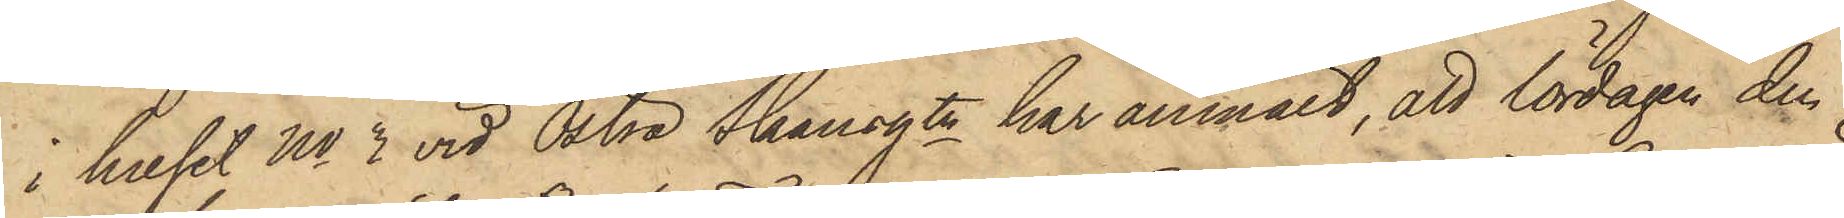i huset No 3 vid Östra Skansgtn har anmält, att lördagen den
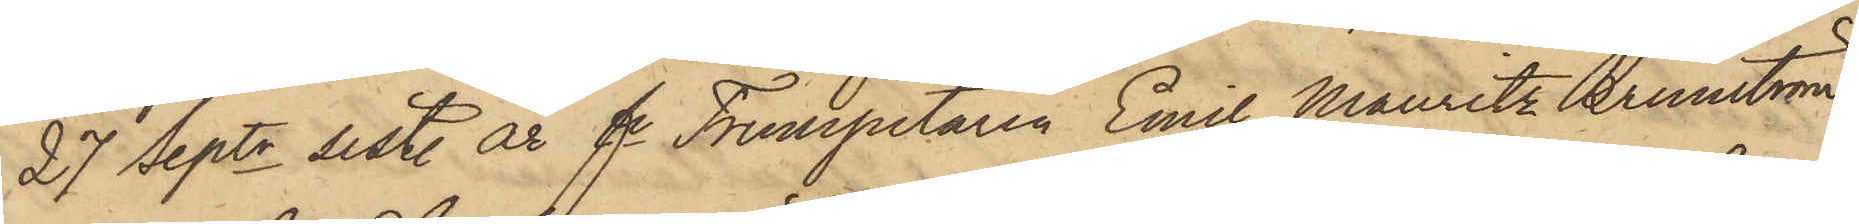27 Septr sist. år fe Trumpetaren Emil Mauritz Brunström
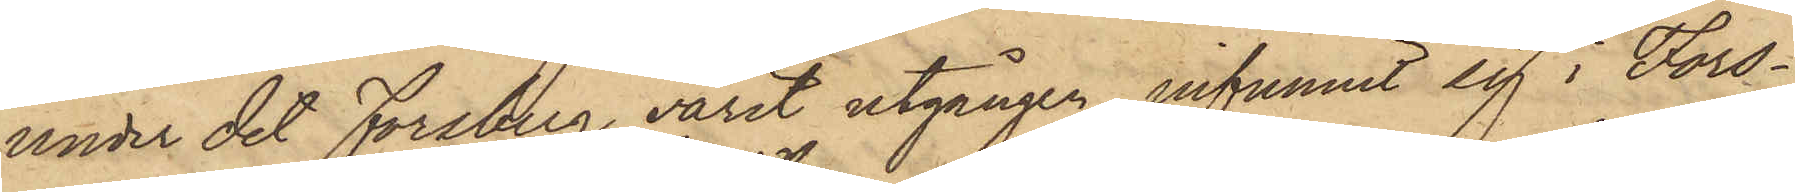under det Forsberg varit utgången, infunnit sig i Fors¬
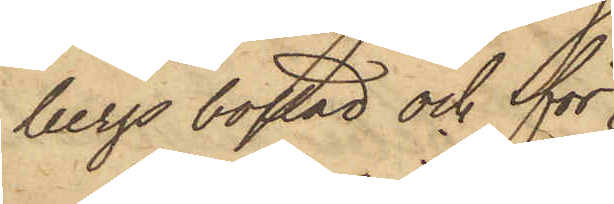bergs bostad och för
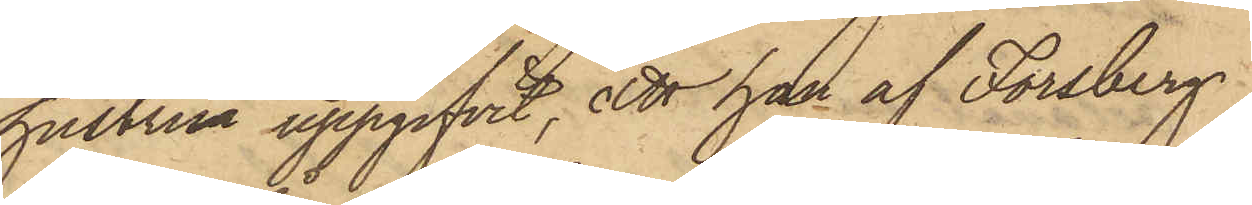hustru uppgifvit, att han af Forsberg
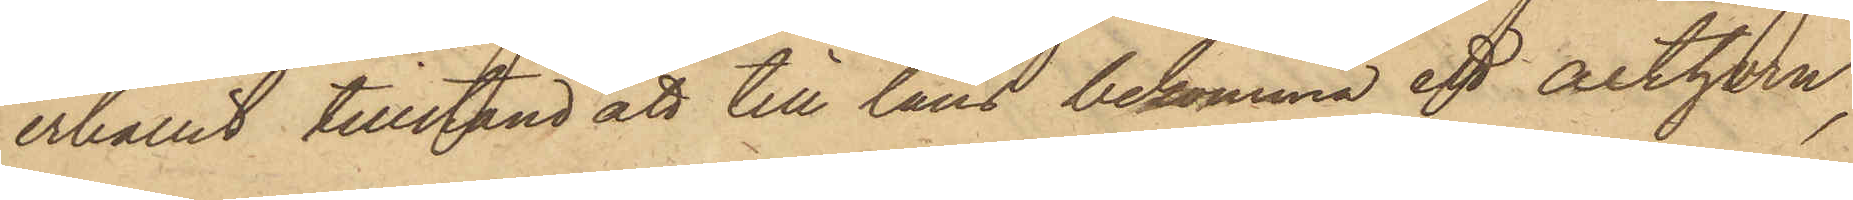erhållit tillstånd att till låns bekomma ett althorn,
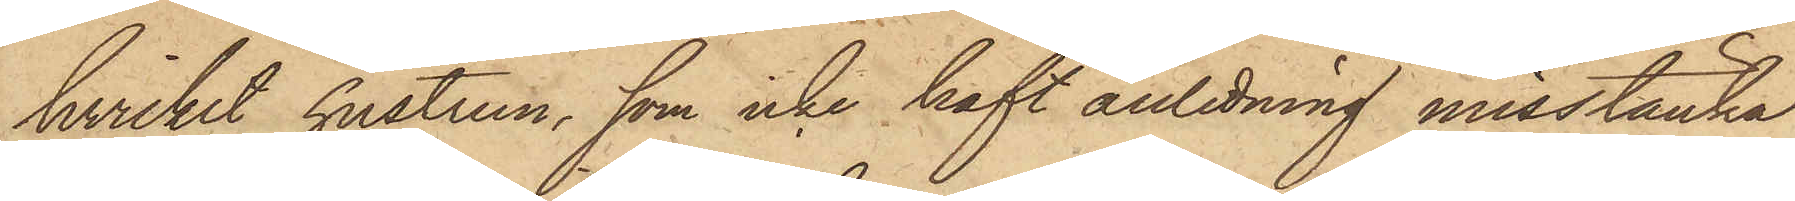hvilket hustrun, som icke haft anledning misstänka
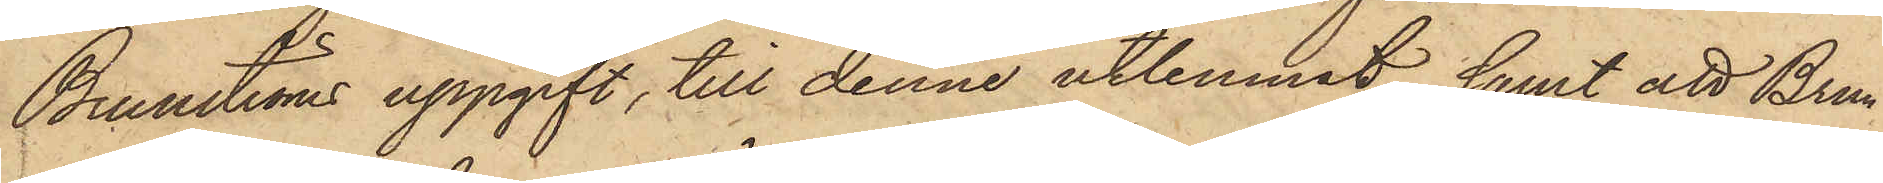Brunströms uppgift, till denne utlemnat, samt att Brun¬
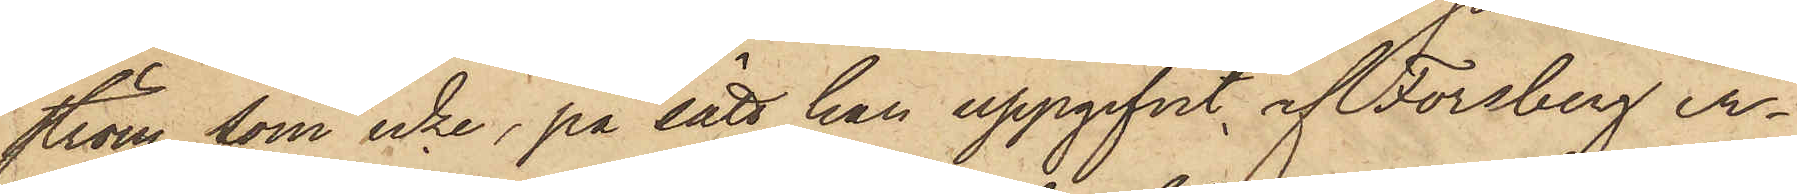ström som icke, på sätt han uppgifvit, af Forsberg er¬
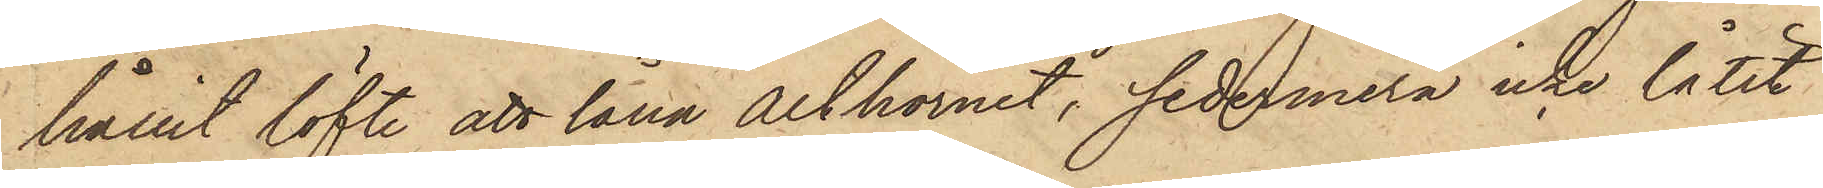hållit löfte att låna Althornet, sedermera icke låtit
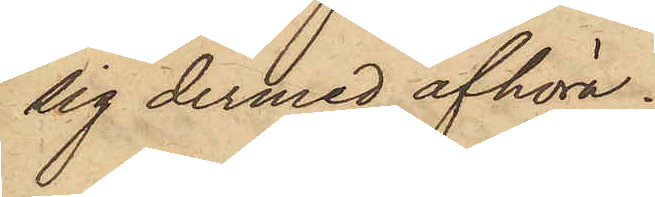sig dermed afhöra.
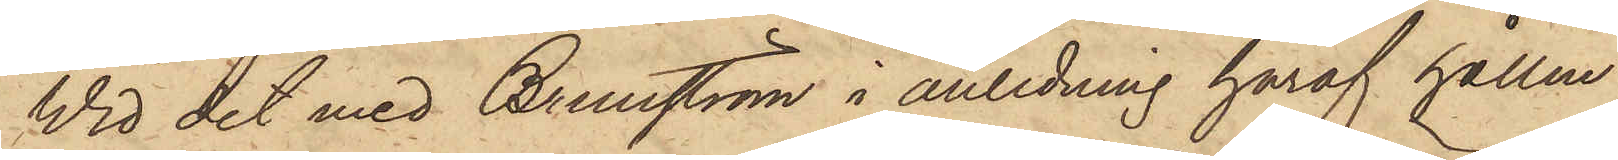Vid det med Brunström i anledning häraf hållne
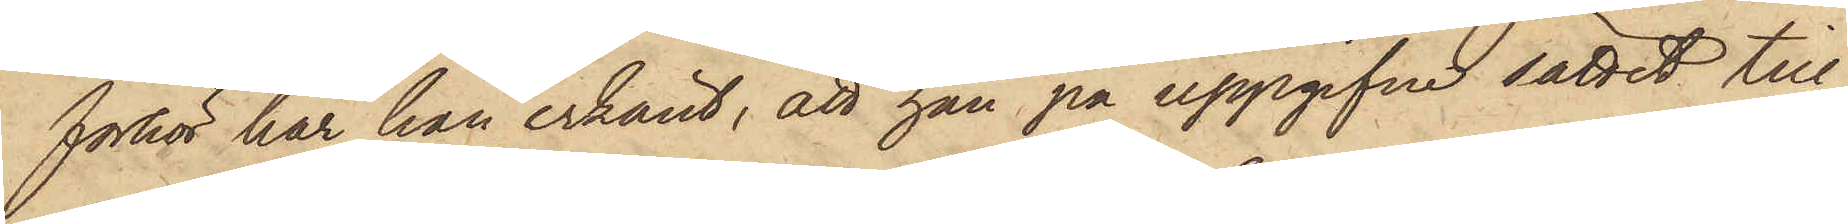förhör har han erkänt, att han på uppgifne sättet till¬
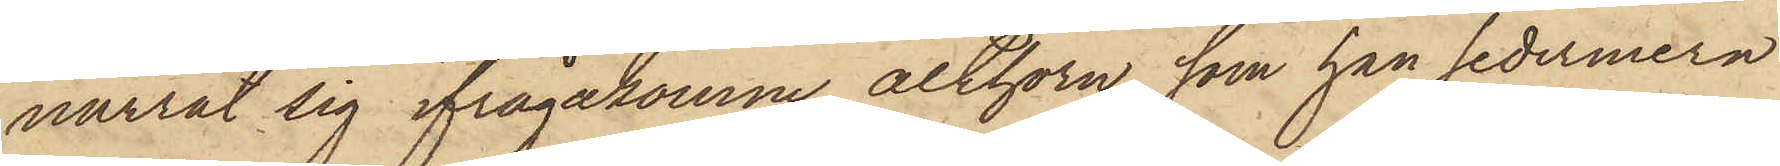narrat sig ifrågakomne althorn, som han sedermera
